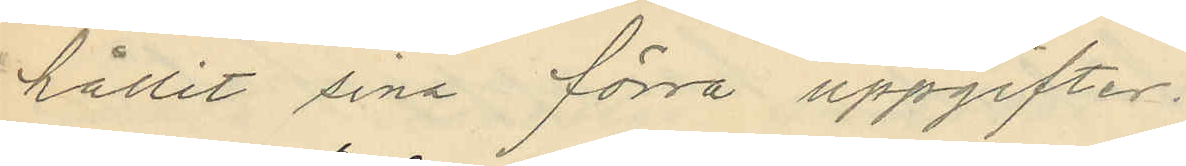hållit sina förra uppgifter.
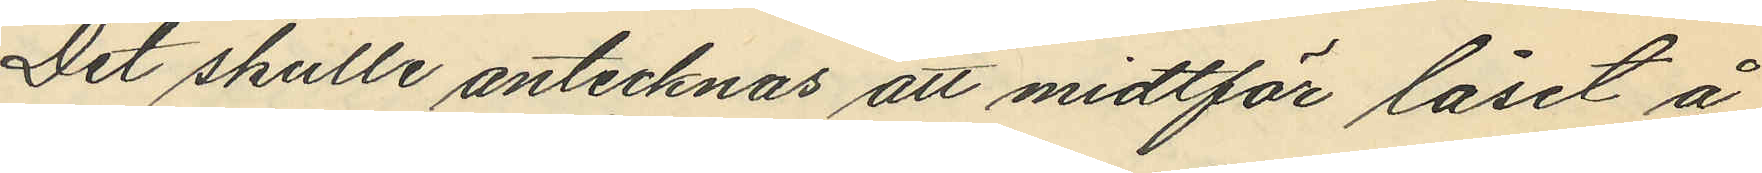Det skulle antecknas att midtför låset å
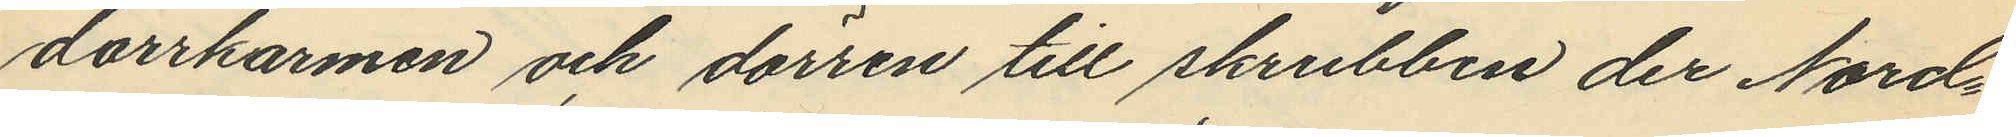dorrkarmen och dörren till skrubben der Nord¬
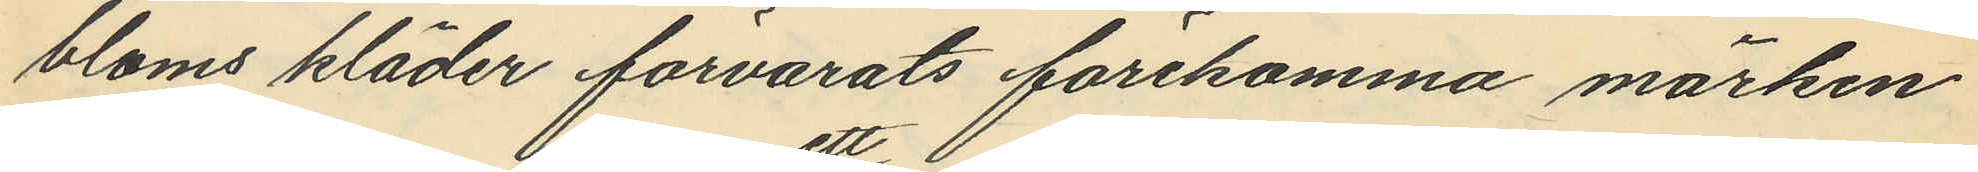bloms kläder förvarats förekomma märken
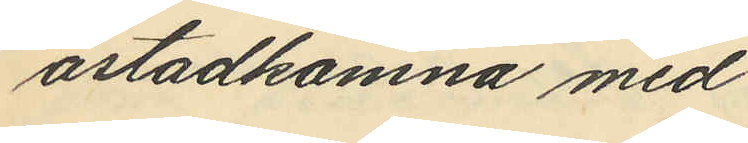åstadkomna med
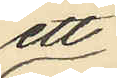ett
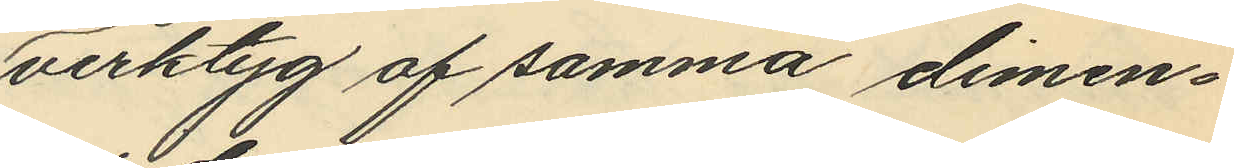verktyg af samma dimen¬
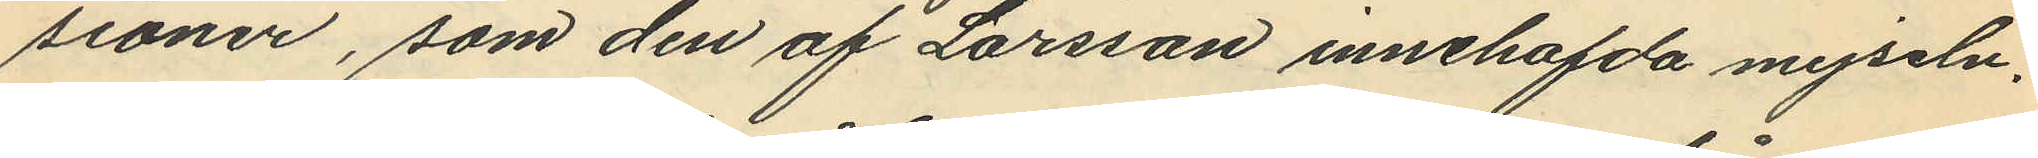sioner, som den af Larsson innehafda mejseln,
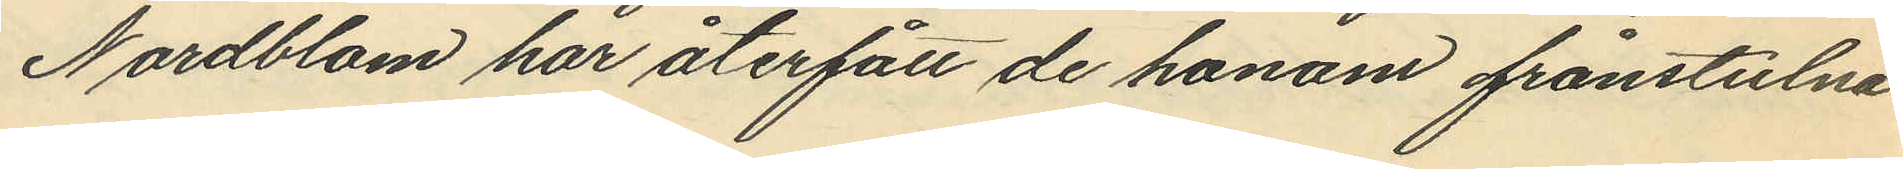Nordblom har återfått de honom frånstulna
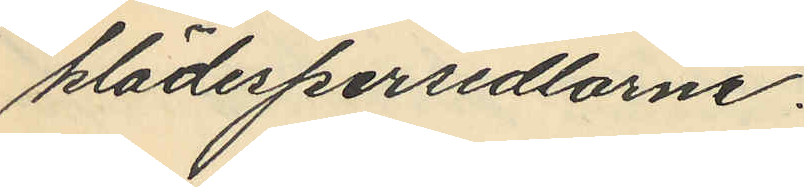klädespersedlarne.
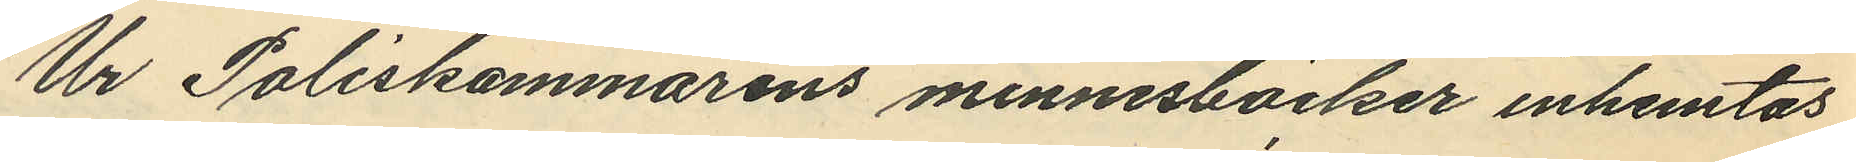Ur Poliskammarens minnesböcker inhemtas
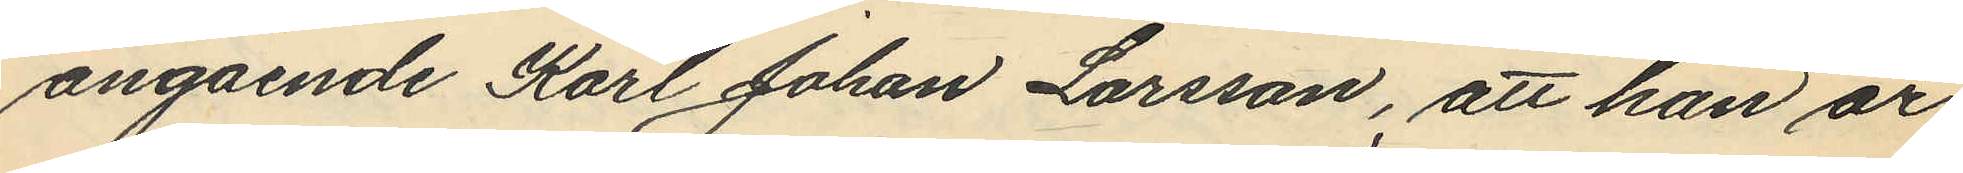angående Karl Johan Larsson, att han är
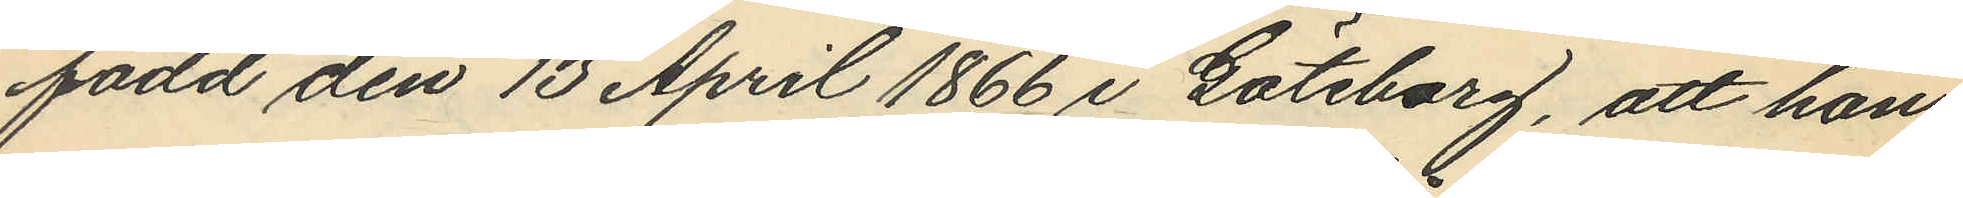född den 13 April 1866 i Göteborg, att han
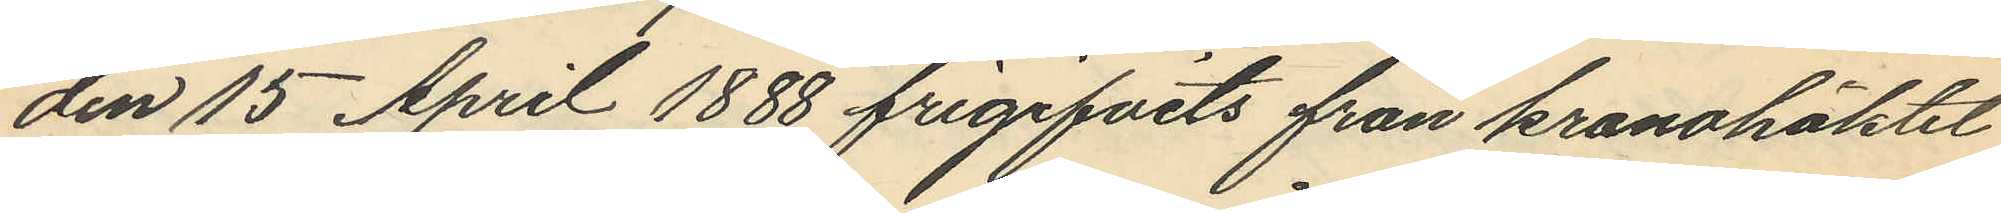den 15 April 1888 frigifvits från kronohäktet
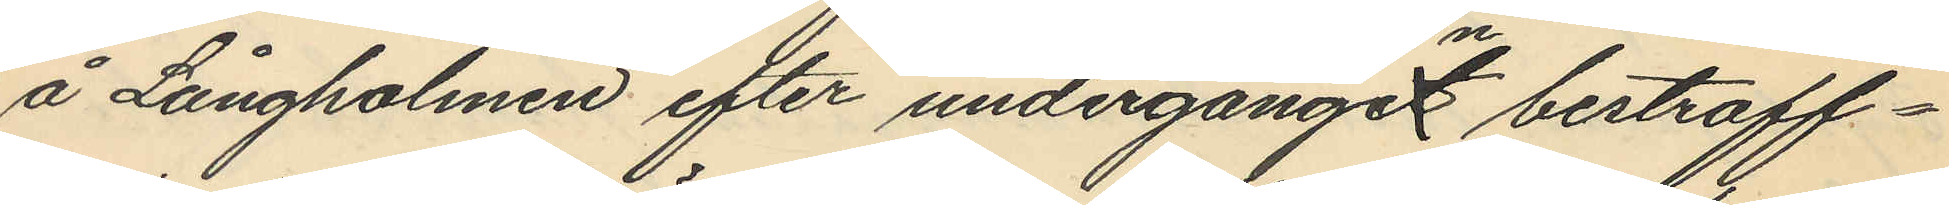å Långholmen efter undergånget n bestraff¬
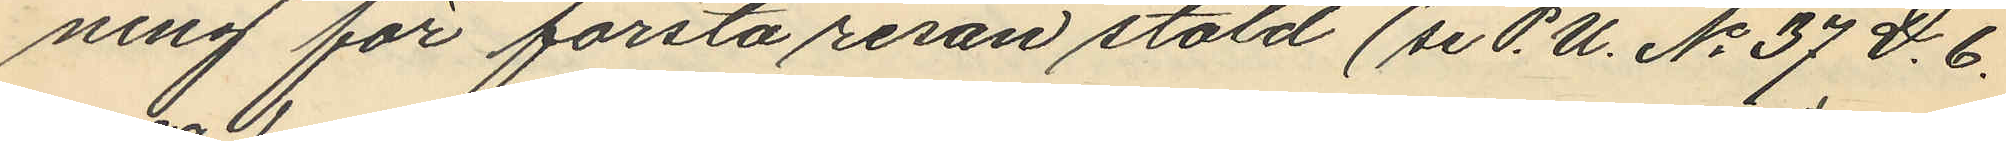ning för första resan stöld (se P.U. No 37 D. 6.
